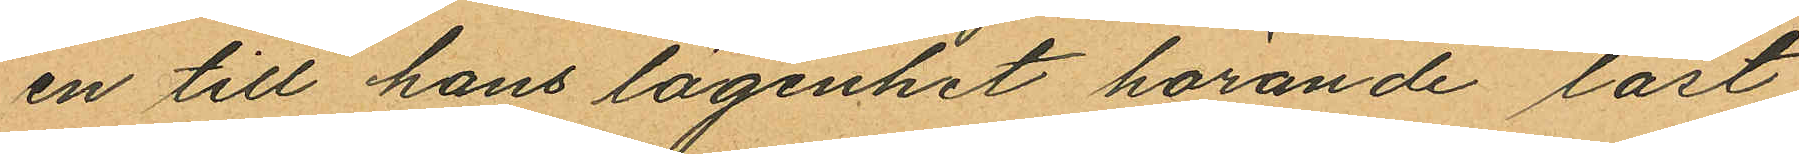en till hans lägenhet hörande låst
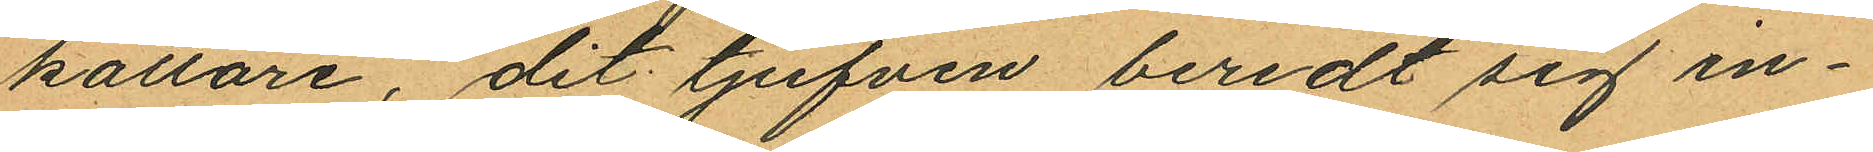källare, dit tjufven beredt sig in¬
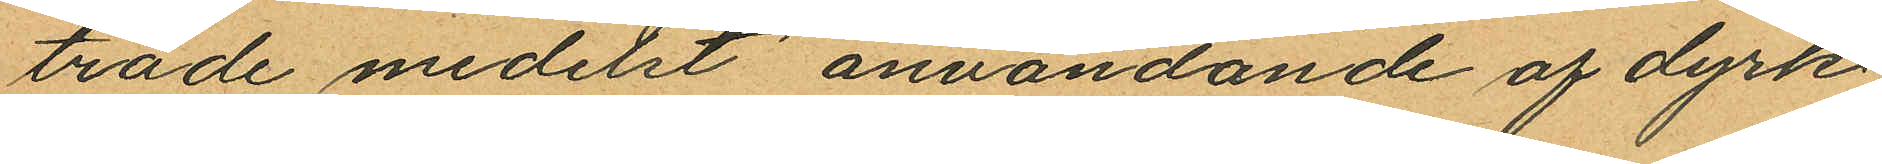träde medelst användande af dyrk
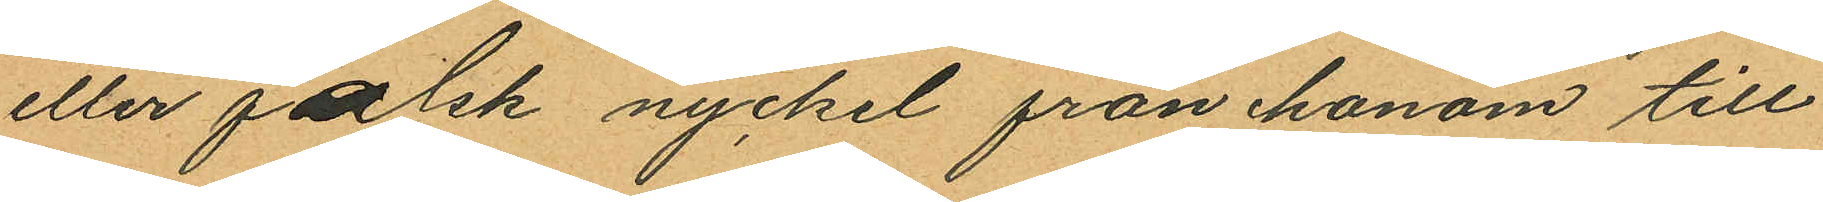eller falsk nyckel från honom till
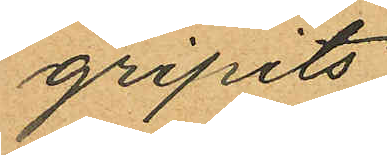gripits
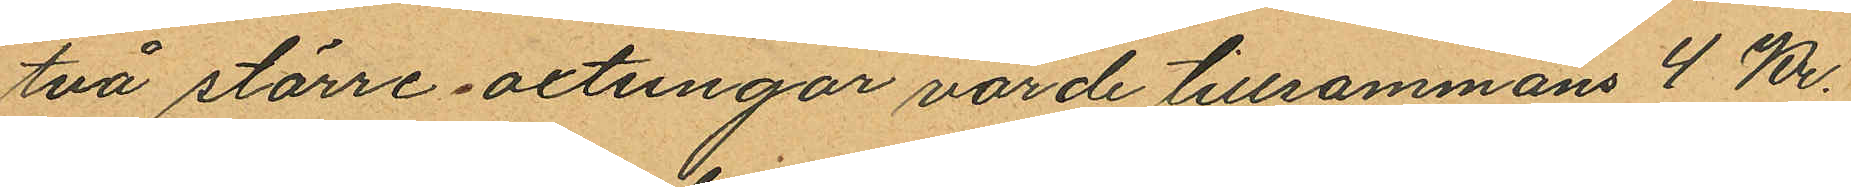två större oxtungor värde tillsammans 4 Kr.
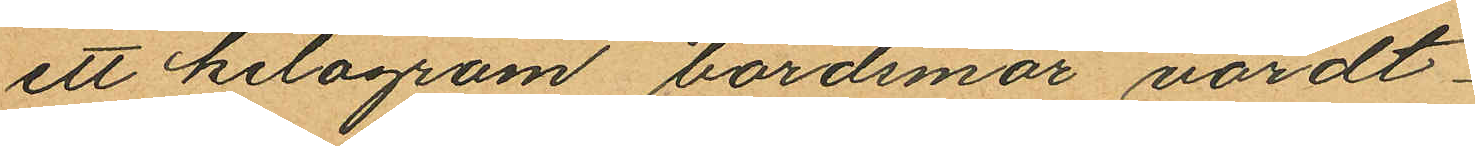ett kilogram bordsmör värdt
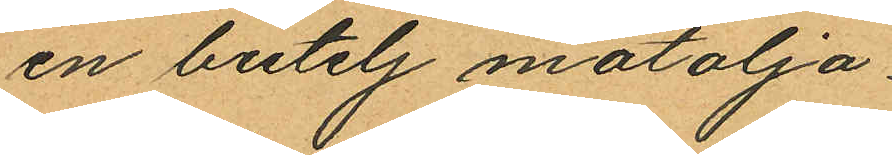en butelj matolja
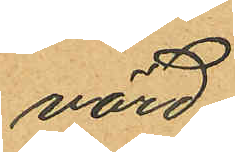värd
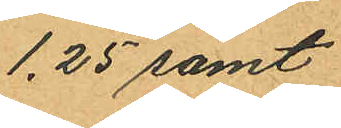1.25 samt
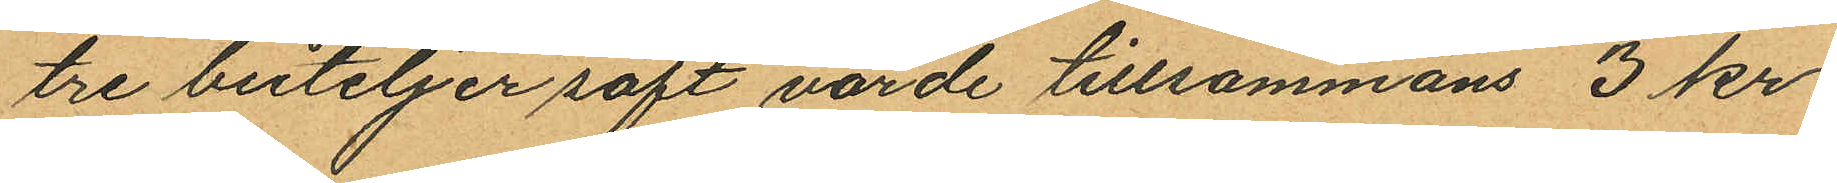tre buteljer saft värde tillsammans 3 kr.
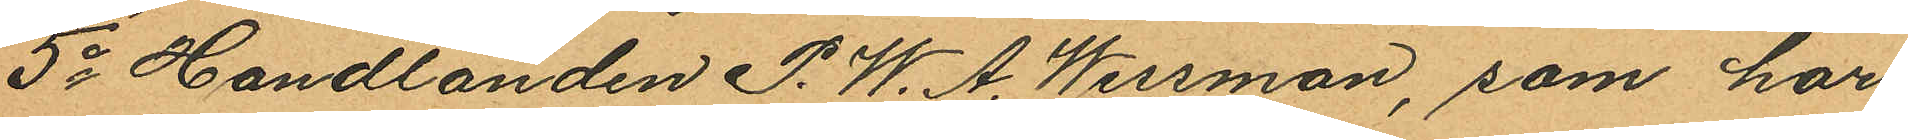5o Handlanden P. W. A. Wessman, som har
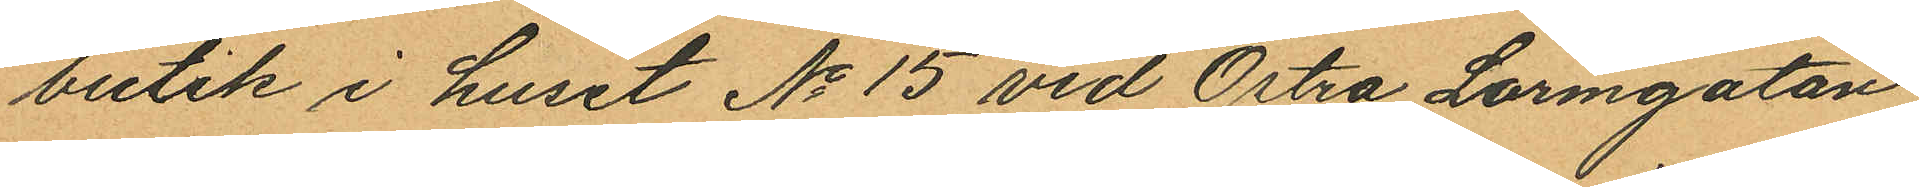butik i huset No 15 vid Östra Larmgatan
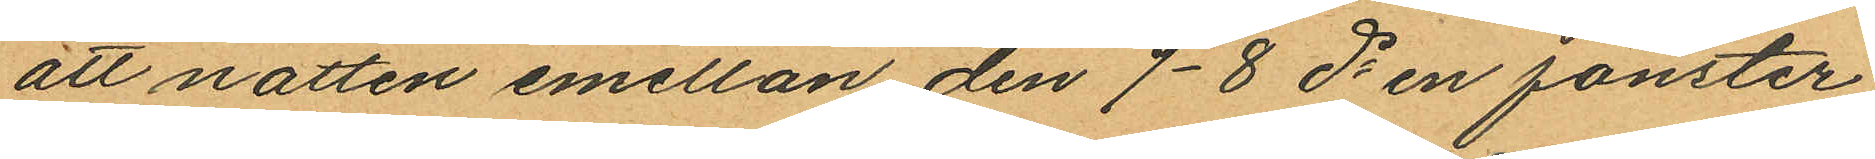att natten emellan den 7-8 ds en fönster¬
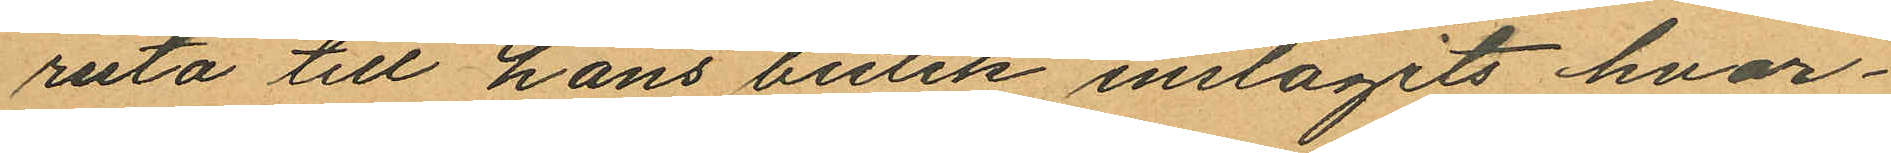ruta till hans butik inslagits hvar¬
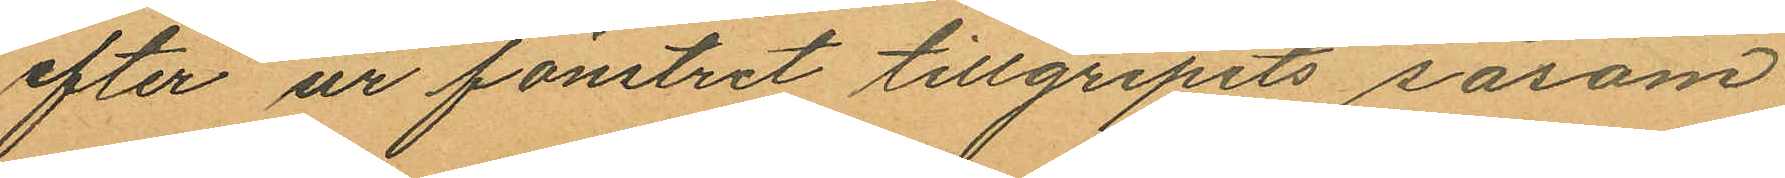efter ur fönstret tillgripits såsom
